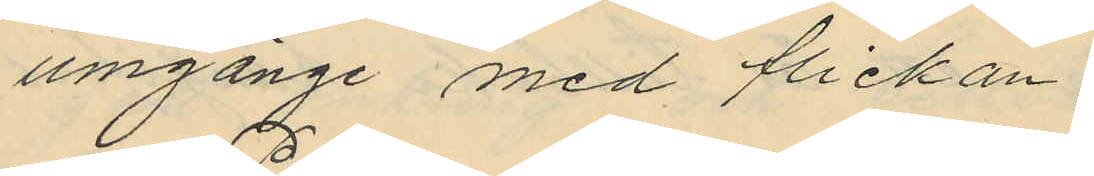omgänge med flickan.
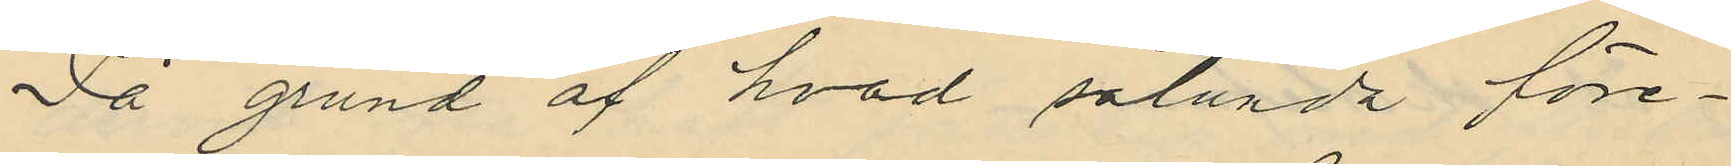På grund af hvad sålunda före¬
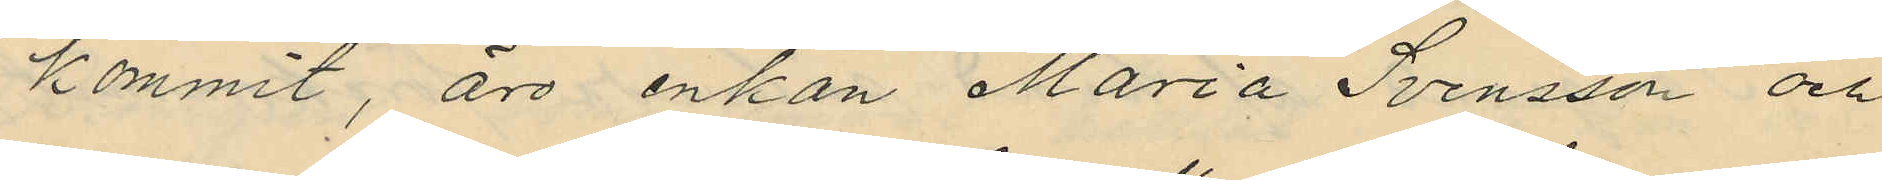kommit, äro enkan Maria Svensson och
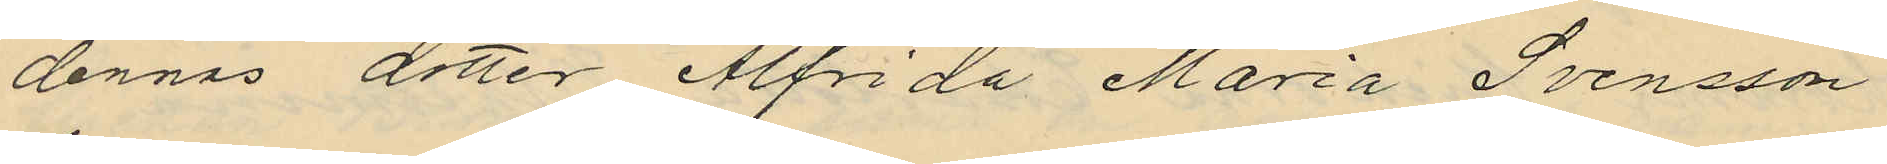dennas dotter Alfrida Maria Svensson
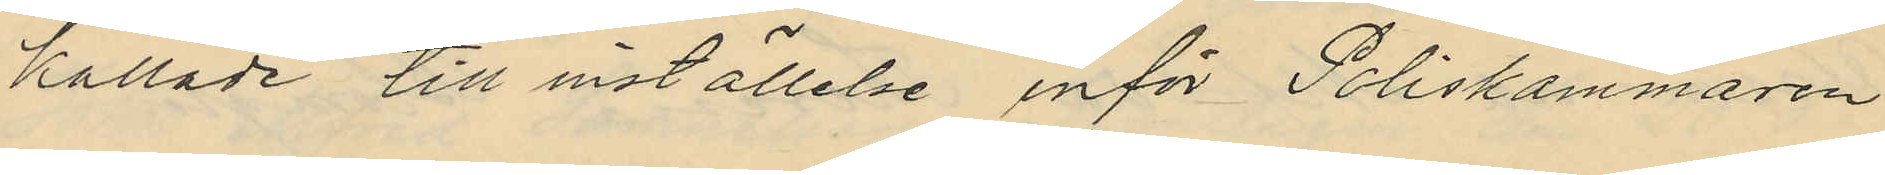kallade till inställelse inför Poliskammaren
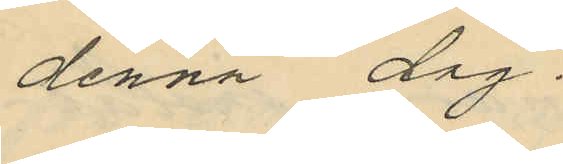denna dag.
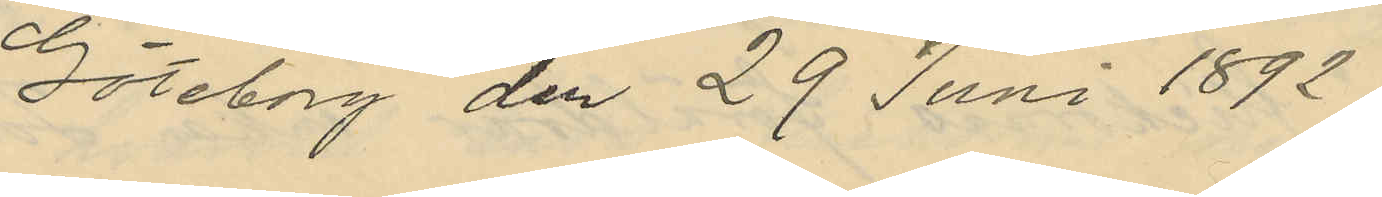Göteborg den 29 Juni 1892.
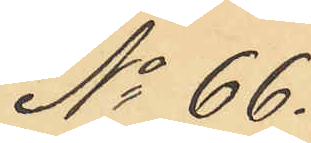No 66.
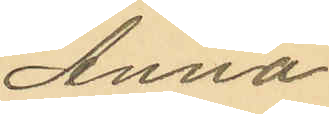Anna
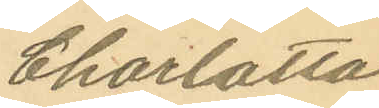Charlotta
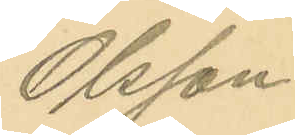Olsson.
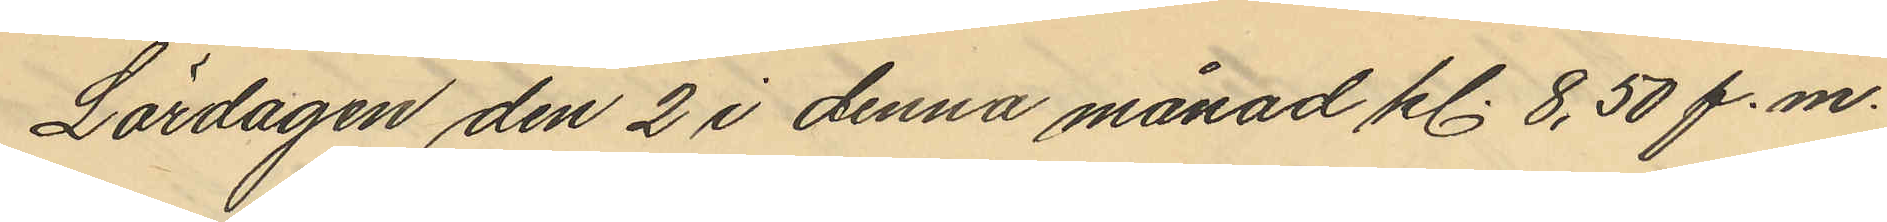Lördagen den 2 i denna månad kl. 8,50 f.m.
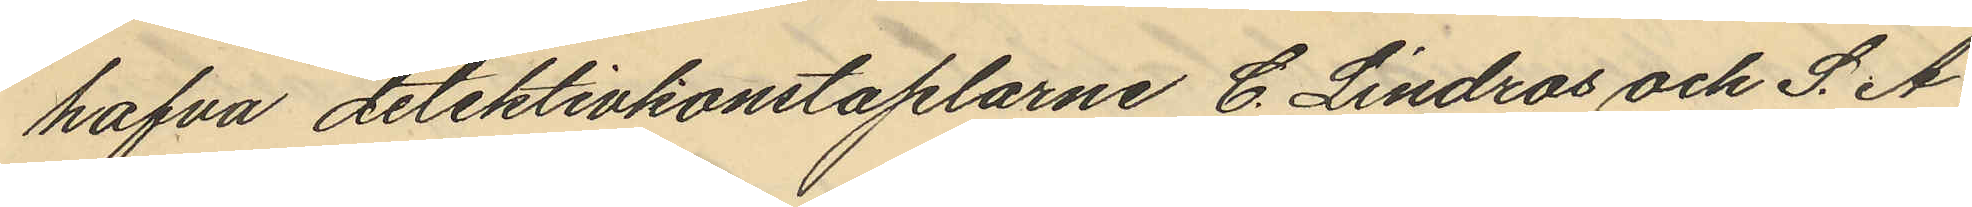hafva detektivkonstaplarne C. Lindros och S. A.
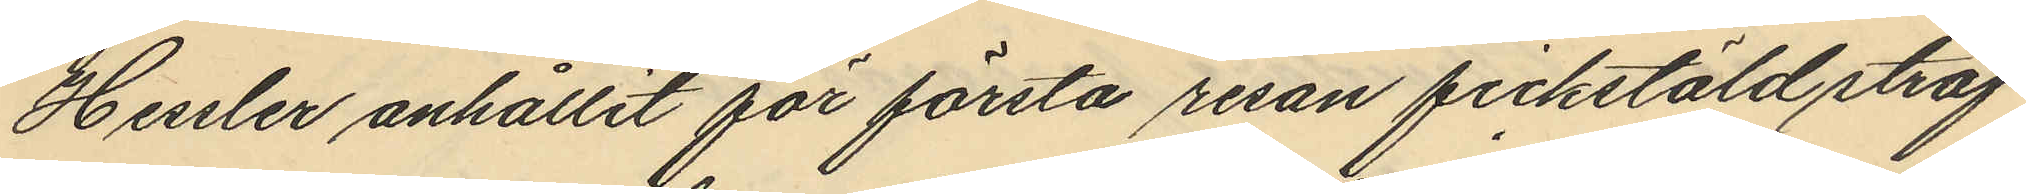Hessler anhållit för första resan fickstöld straf¬
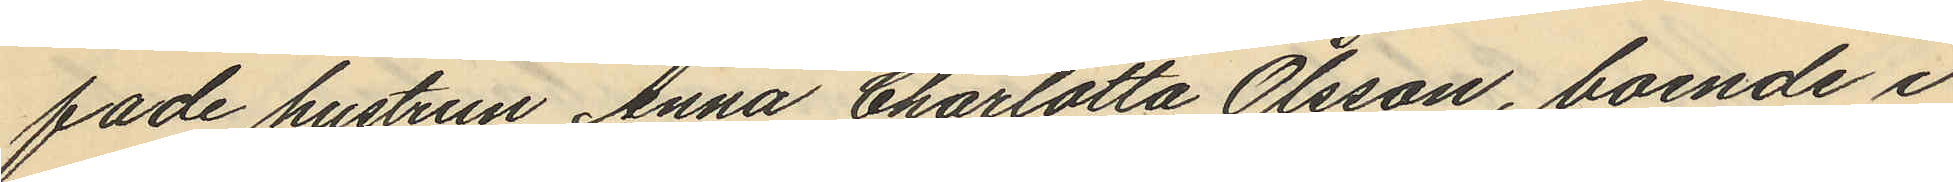fade hustrun Anna Charlotta Olsson, boende i
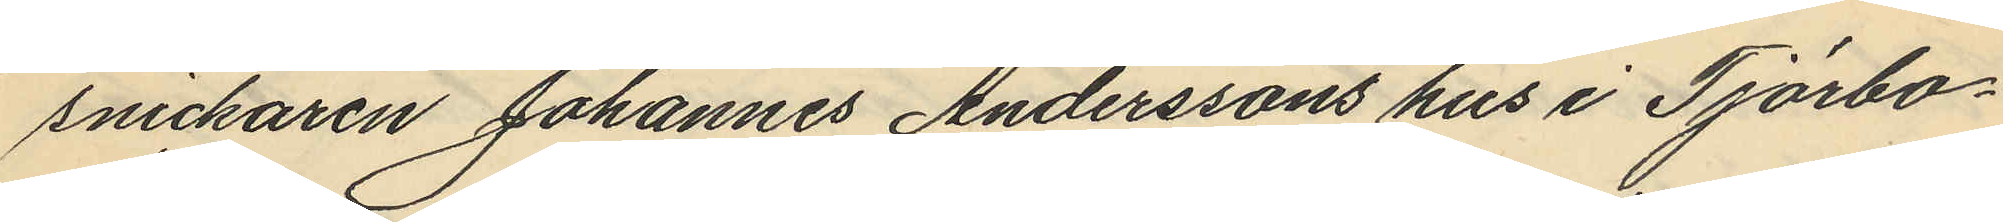snickaren Johannes Anderssons hus i Tjörbo¬
